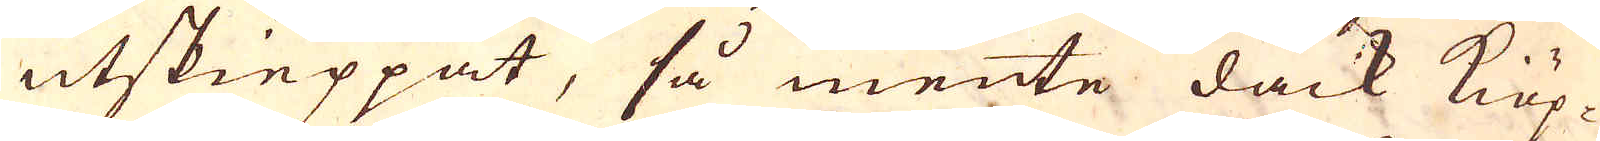utskieppat, så mente dåck Kiöp-
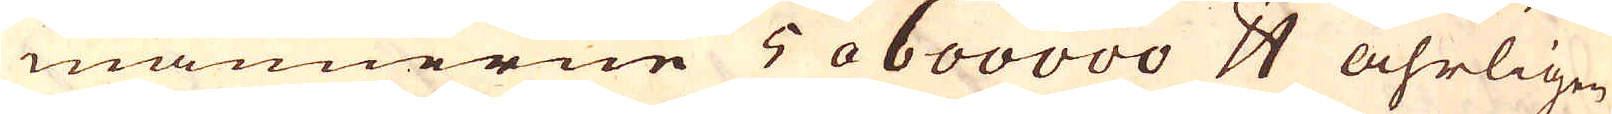männerne 5 a 600000 skålpund åhrligen
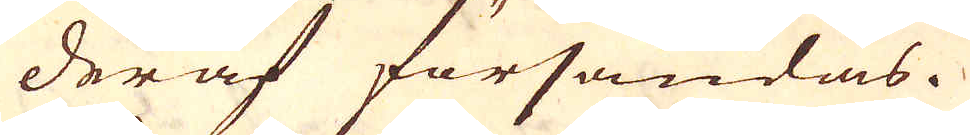deraf försändas.
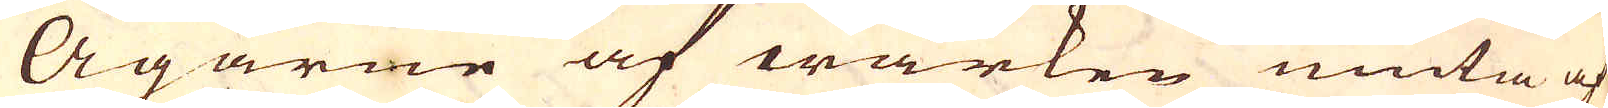Ägarne af wärken niuta af
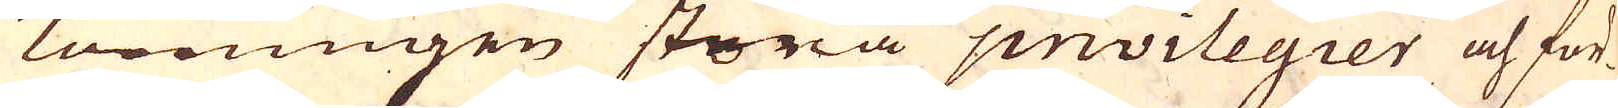Konungen stora privilegier och för-
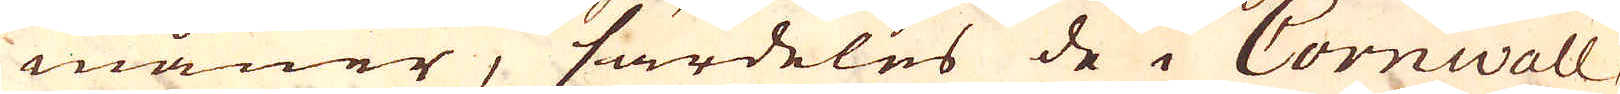måner, särdeles de i Cornwall,
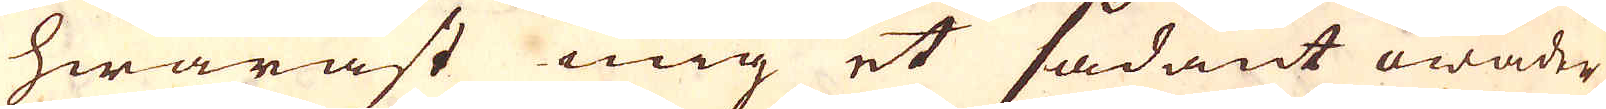hwaräst mig et sådant owäder
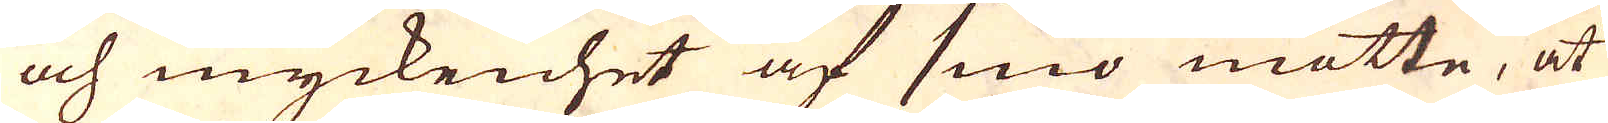och myckenhet af sniö mötte, at
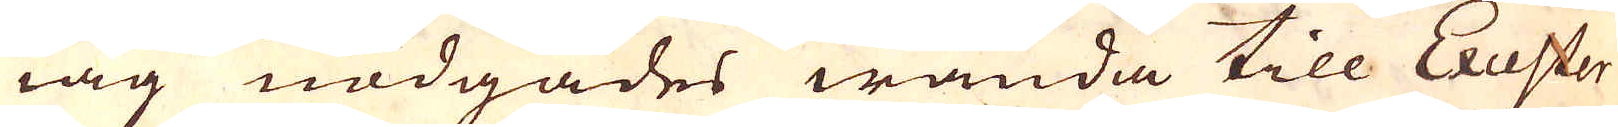iag nödgades wända till Excester
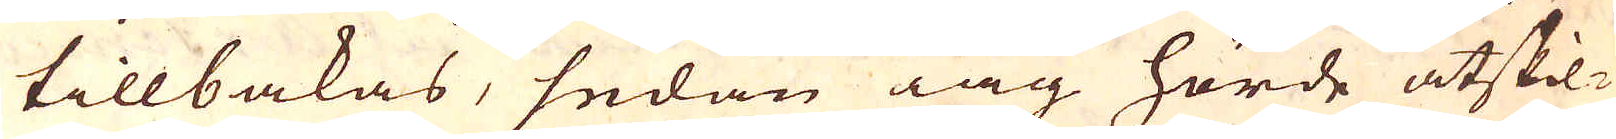tillbakas, sedan iag hörde åtskil-
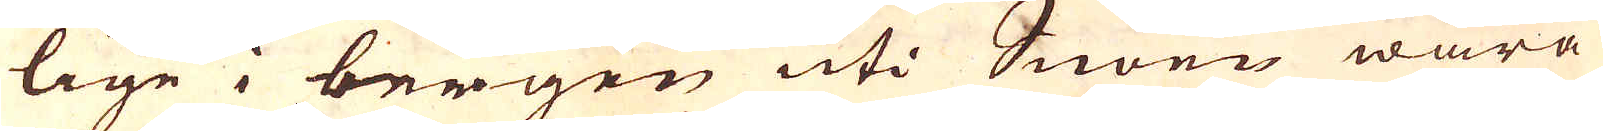lige i bergen uti Snöen wara
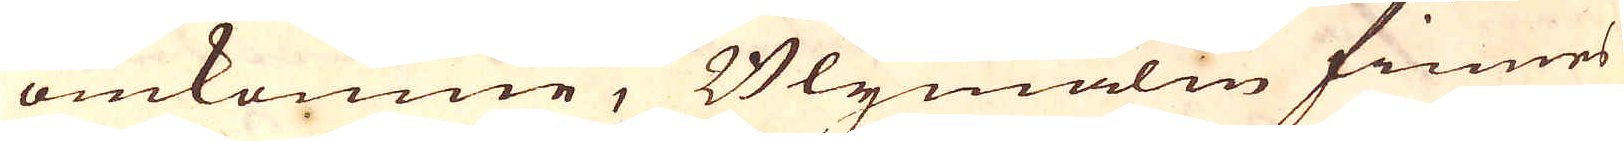omkomne, Blymalm finnes
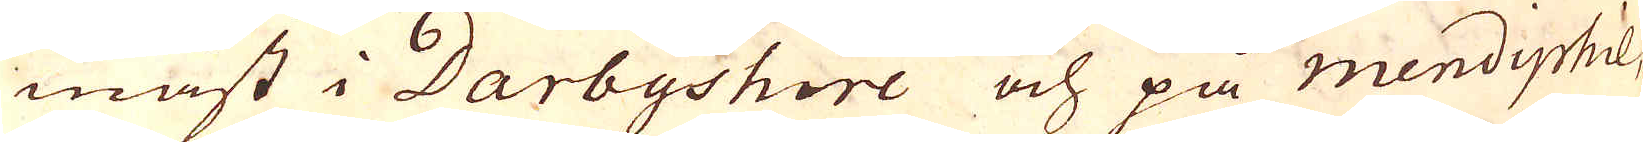mäst i Darbyshire och på Mendiphil,
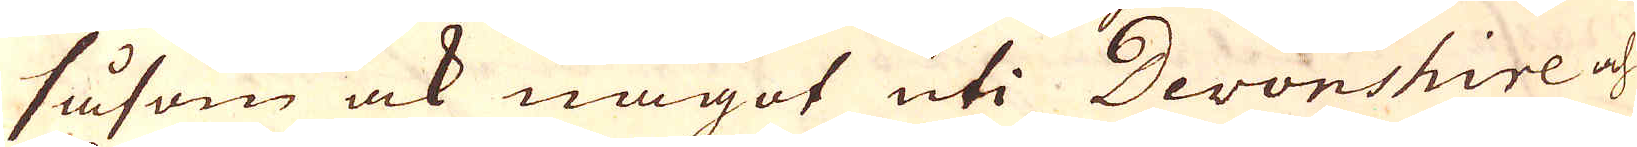såsom ock något uti Devonshire och
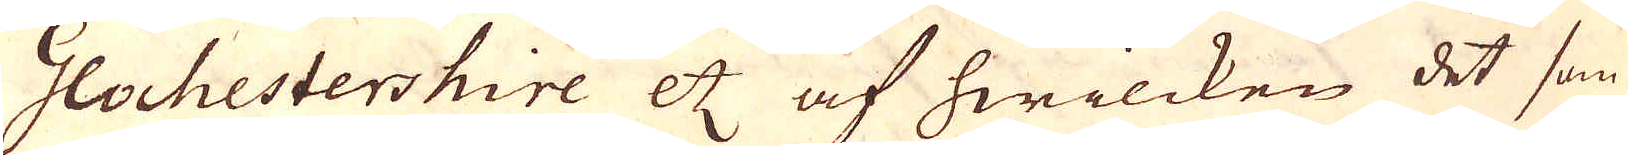Glochestershire etc af hwilcken det som
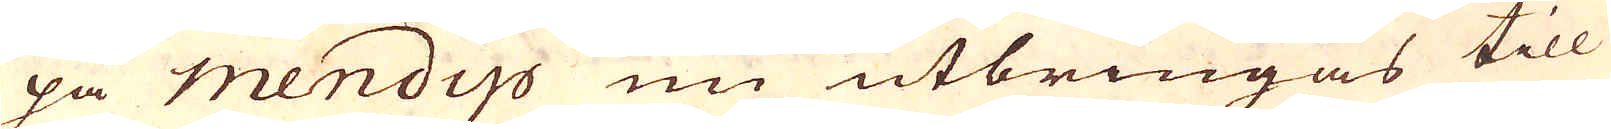på Mendip nu utbringas till
